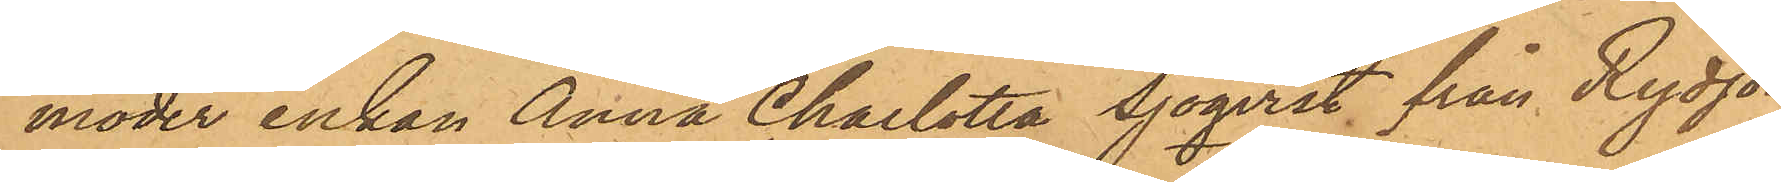moder enkan Anna Charlotta Sjöqvist från Rydjor¬
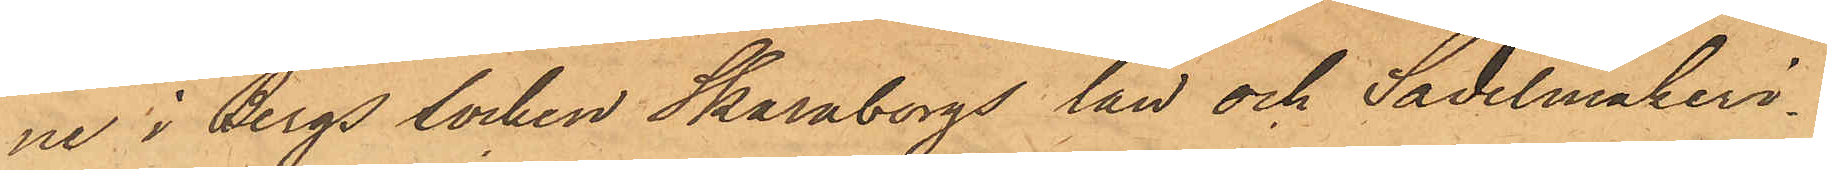ne i Bergs socken Skaraborgs län och Sadelmakeri¬
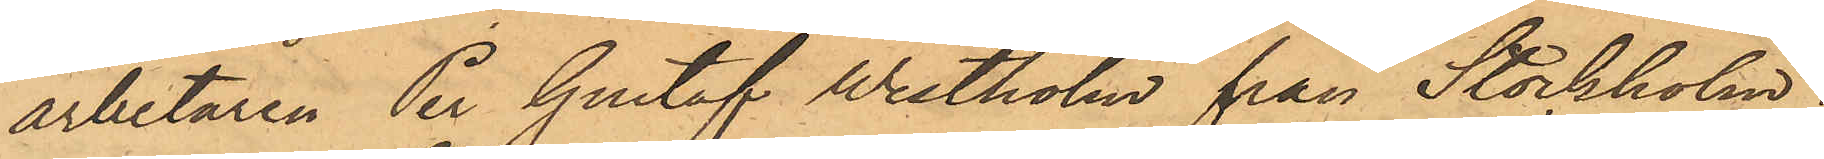arbetaren Per Gustaf Westholm från Stockholm;
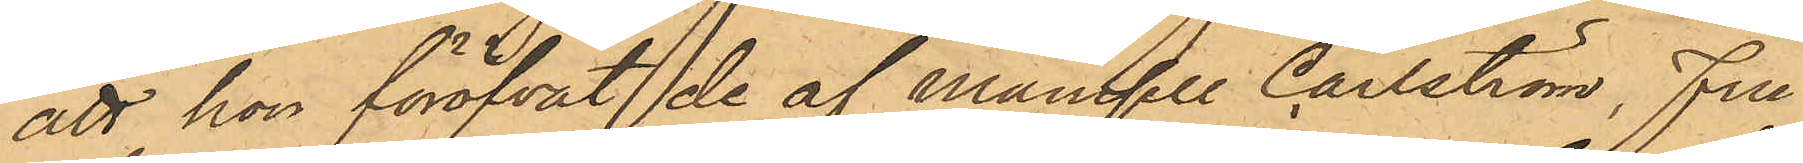att hon föröfvat de af Mamsell Carlström, Fru
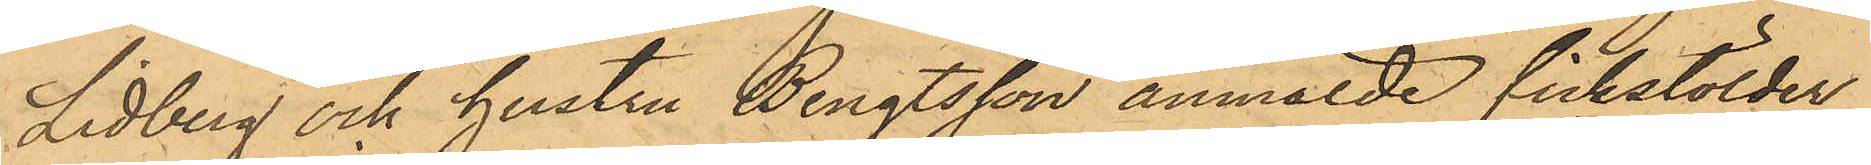Liedberg och hustru Bengtsson anmälde fickstölder,
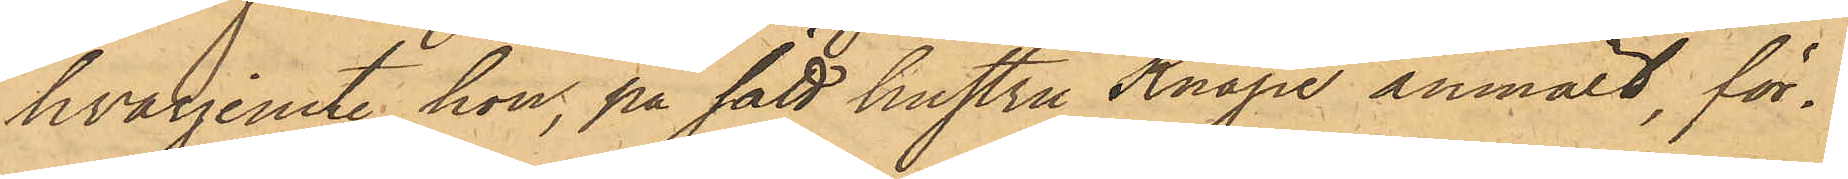hvarjemte hon, på sätt hustru Knape anmält, för¬
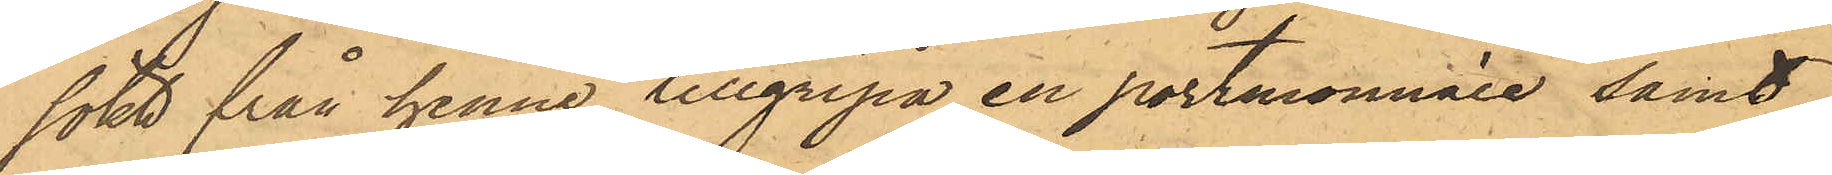sökt från henne tillgripa en portmonnaie samt
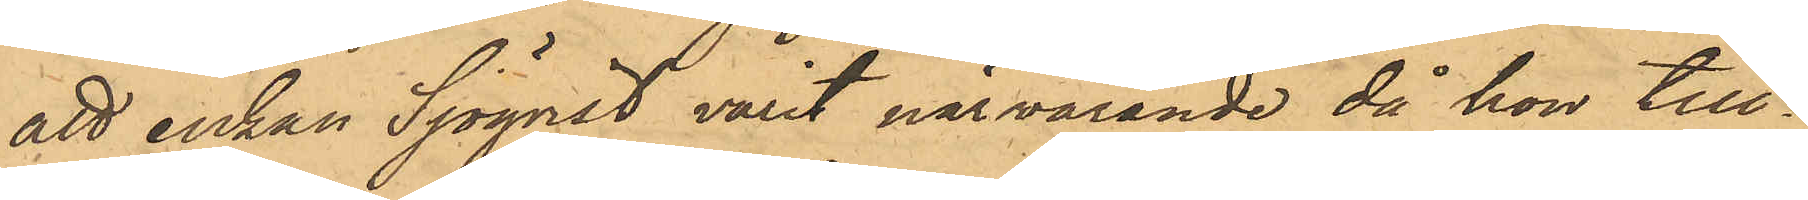att enkan Sjöqvist varit närvarande då hon till¬
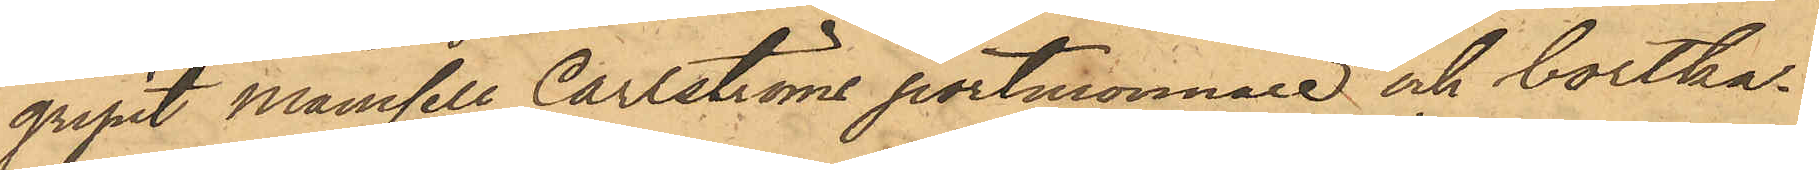gripit Mamsell Carlströms portmonnaie och bortka¬
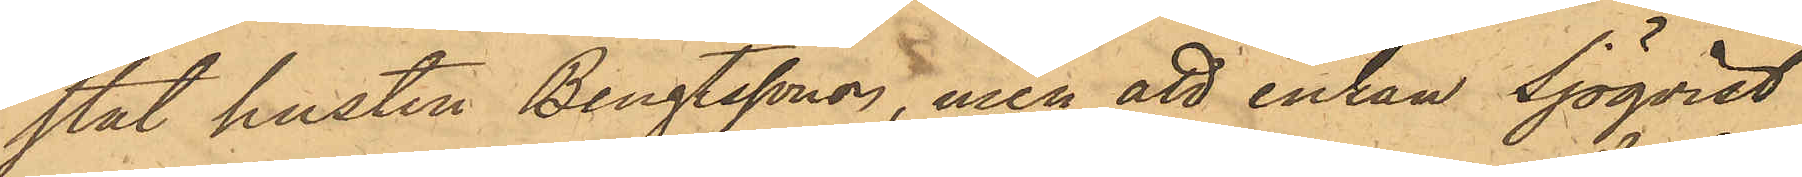stat hustru Bengtssons, men att enkan Sjöqvist
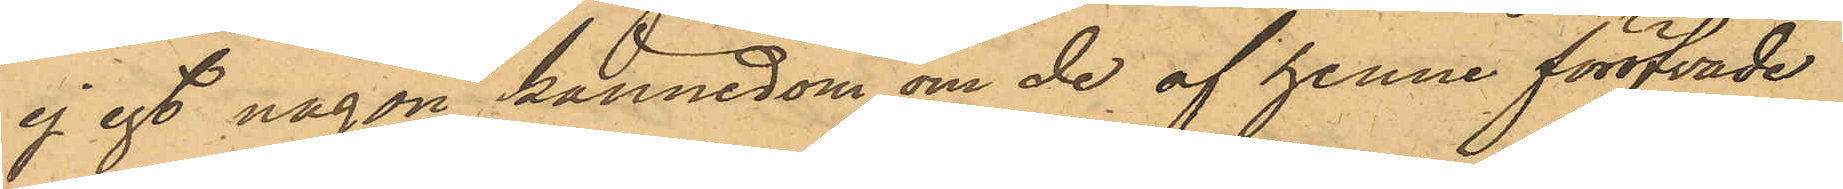ej egt någon kännedom om de af henne föröfvade
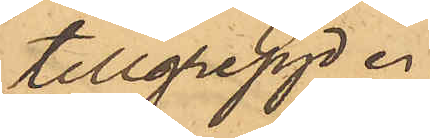tillgrepp.
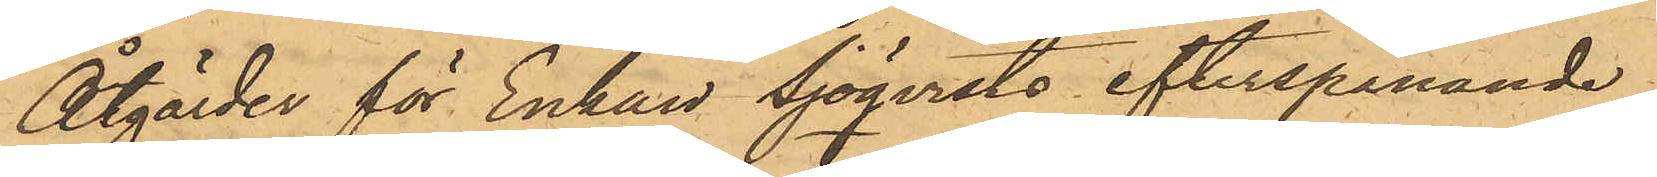Åtgärder för Enkan Sjöqvists efterspanande
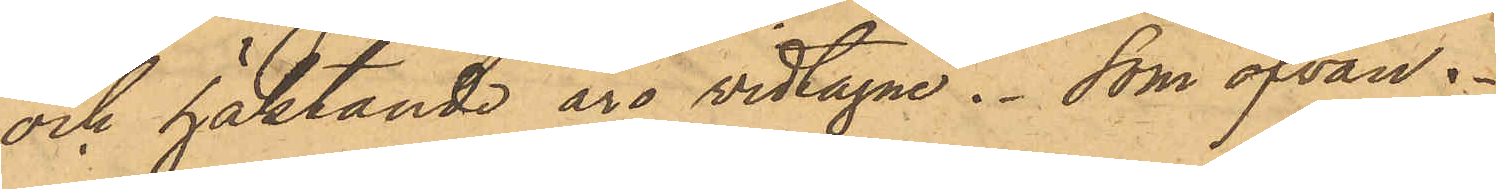och häktande äro vidtagne. Som ofvan.
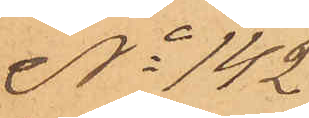No 142
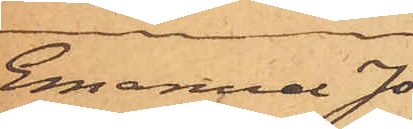Emanuel Jo¬
